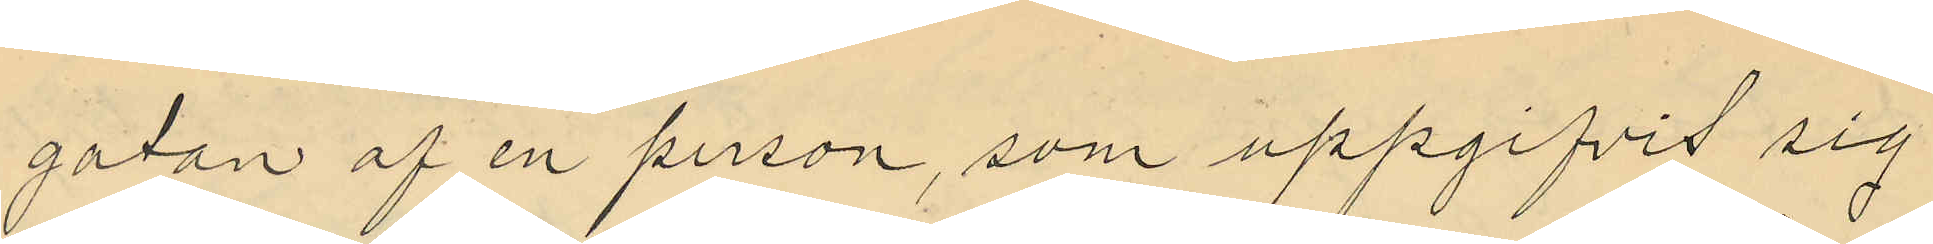gatan af en person, som uppgifvit sig
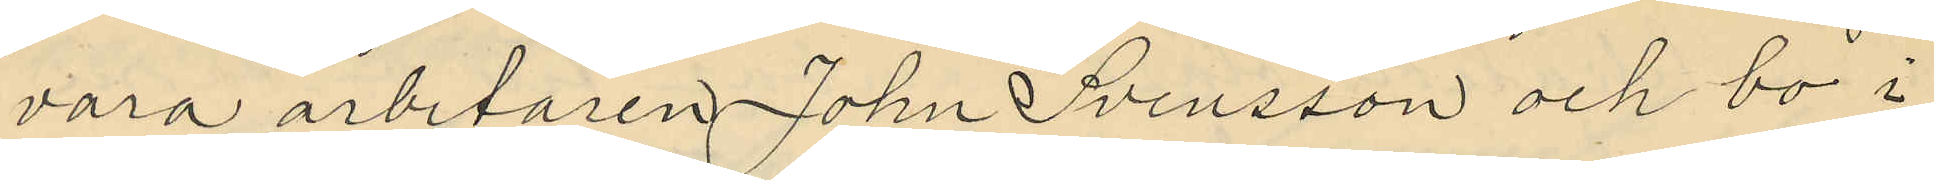vara arbetaren John Svensson och bo i
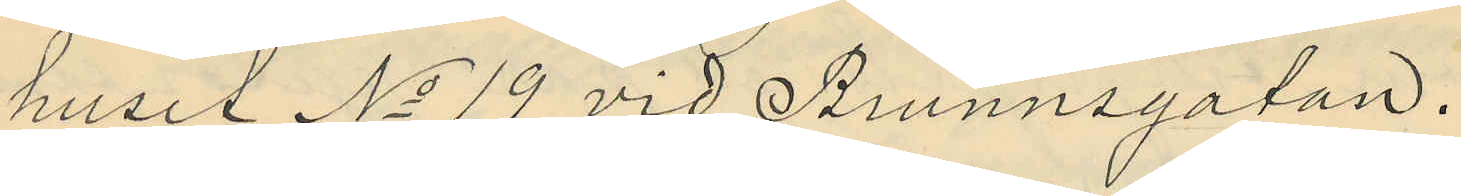huset No 19 vid Brunnsgatan.
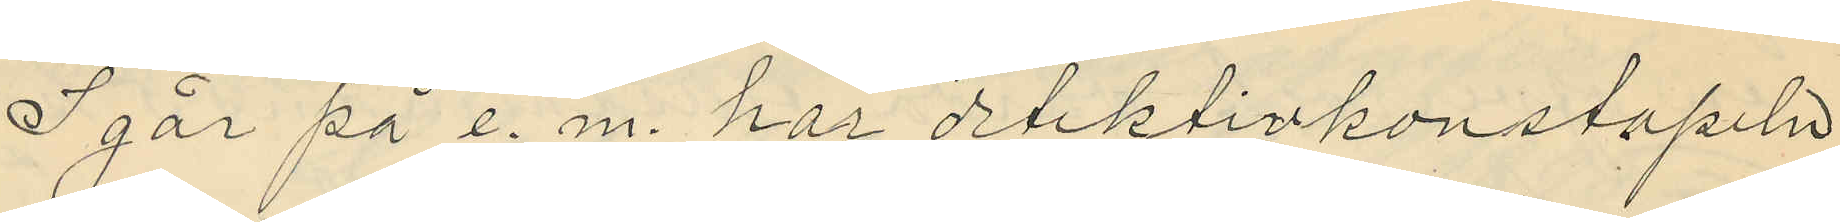Igår på e. m. har detektivkonstapeln
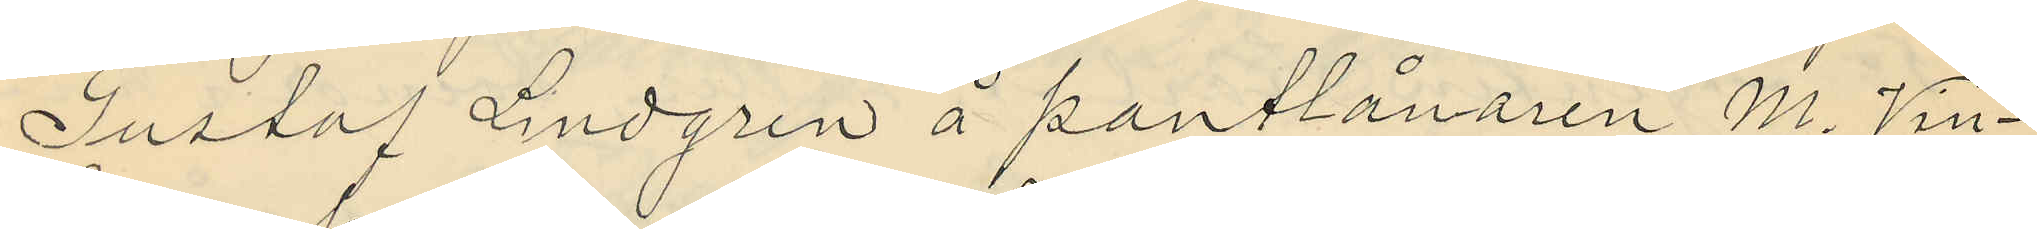Gustaf Lindgren å pantlånaren M. Vin¬
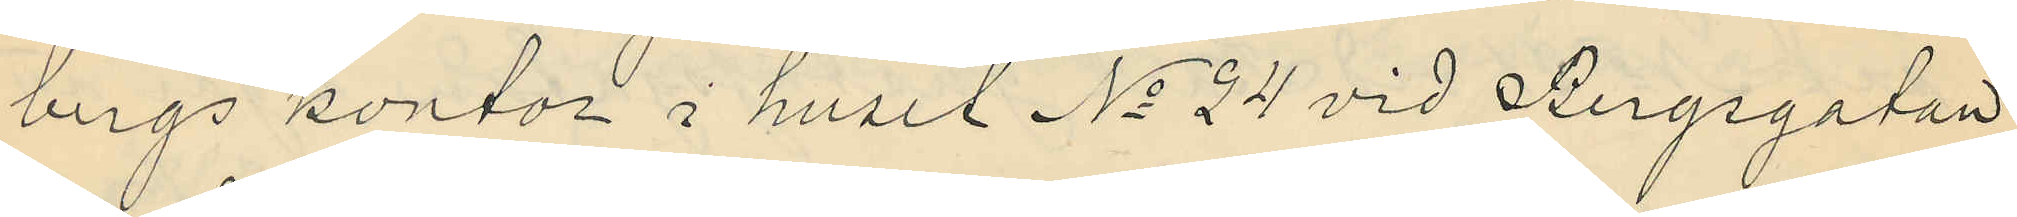bergs kontor i huset No 24 vid Bergsgatan
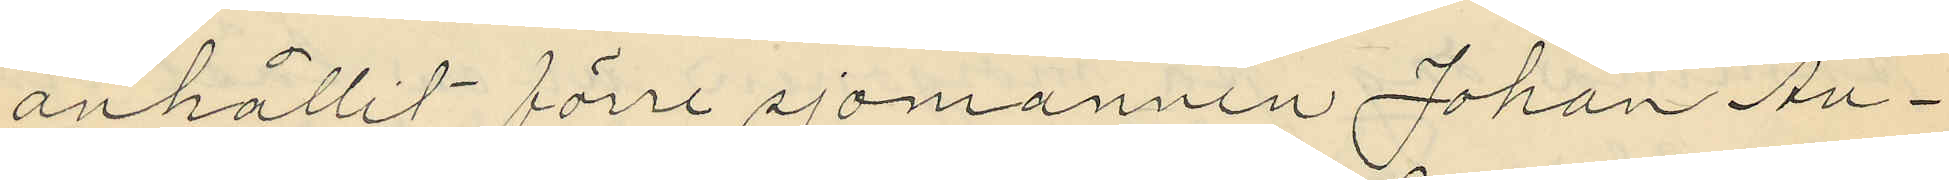anhållit förre sjomannen Johan Au¬
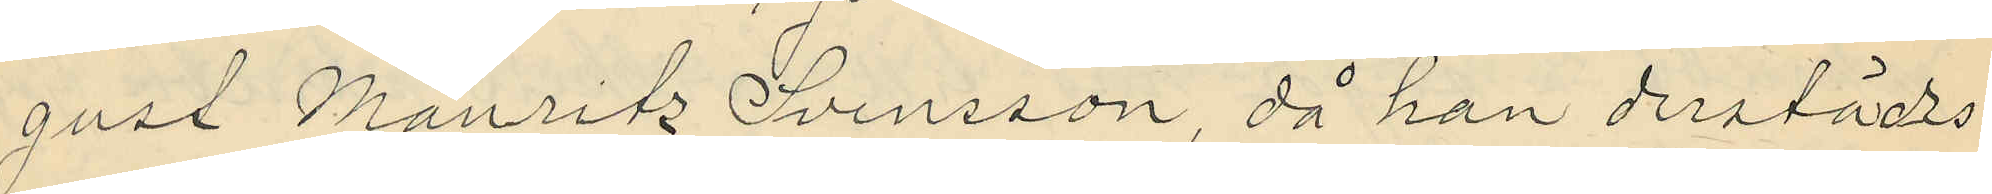gust Mauritz Svensson, då han derstädes
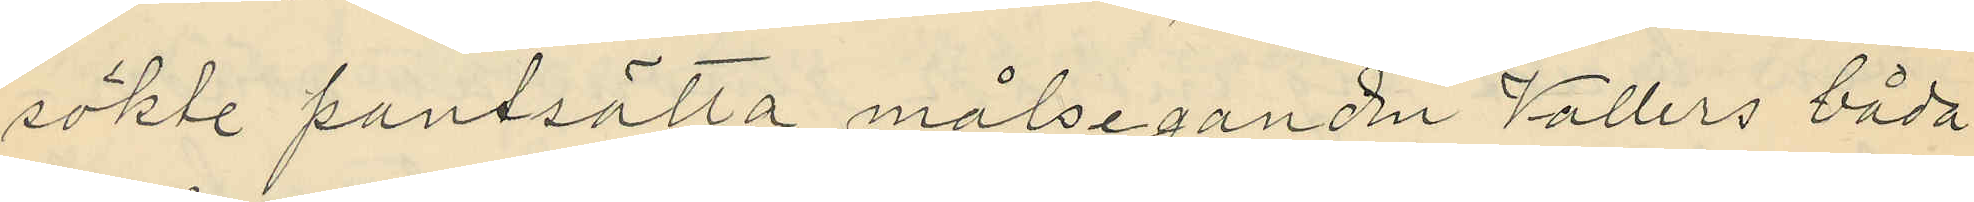sökte pantsätta målseganden Vallers båda
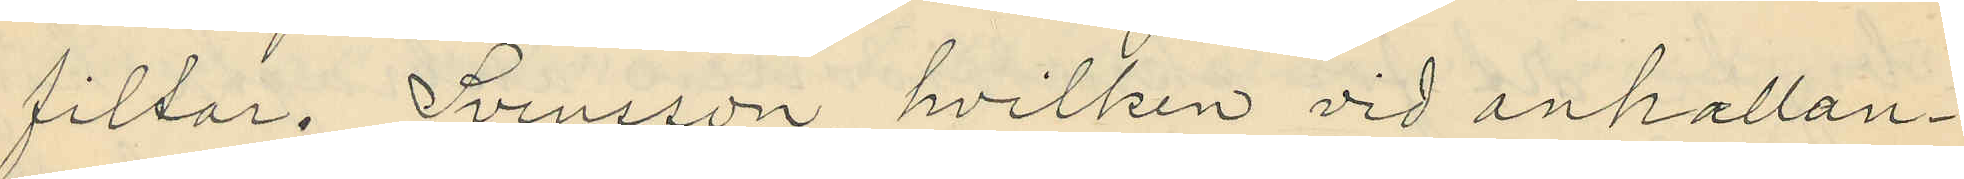filtar. Svensson, hvilken vid anhallan¬
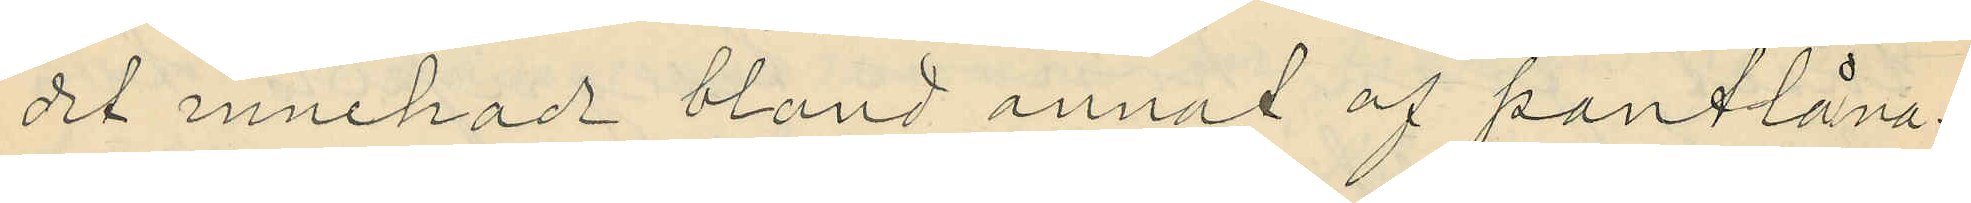dit innehade bland annat af pantlåna¬
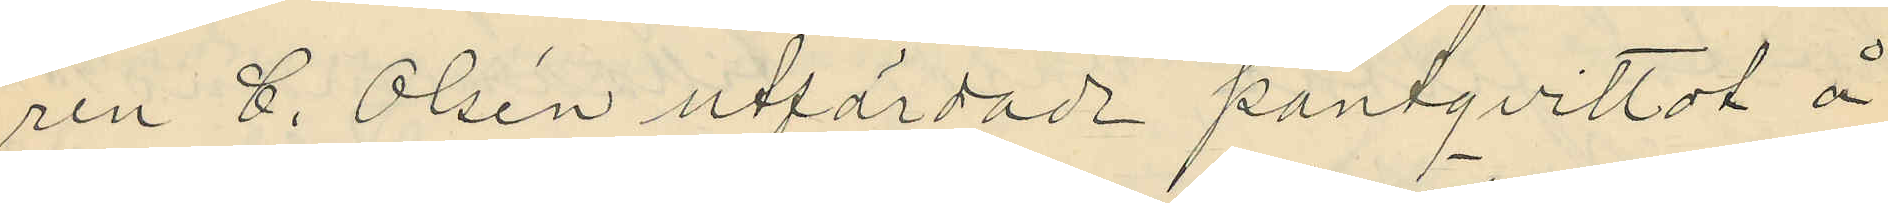ren C. Olsén utfärdade pantqvittot å
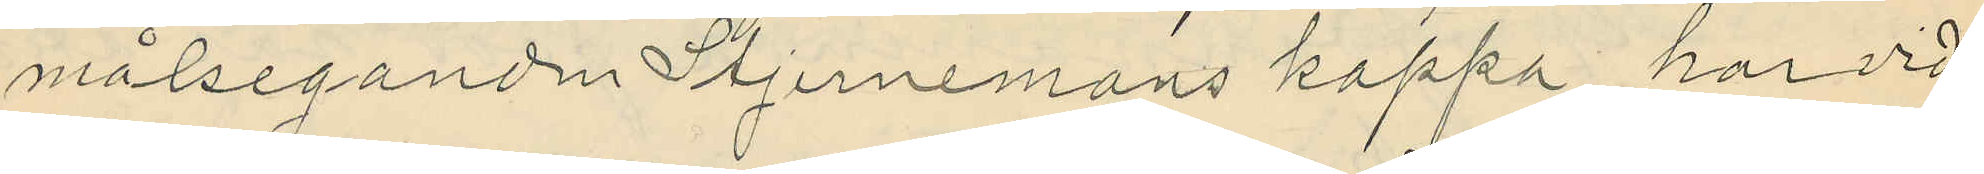målseganden Stjernemans kappa, har vid
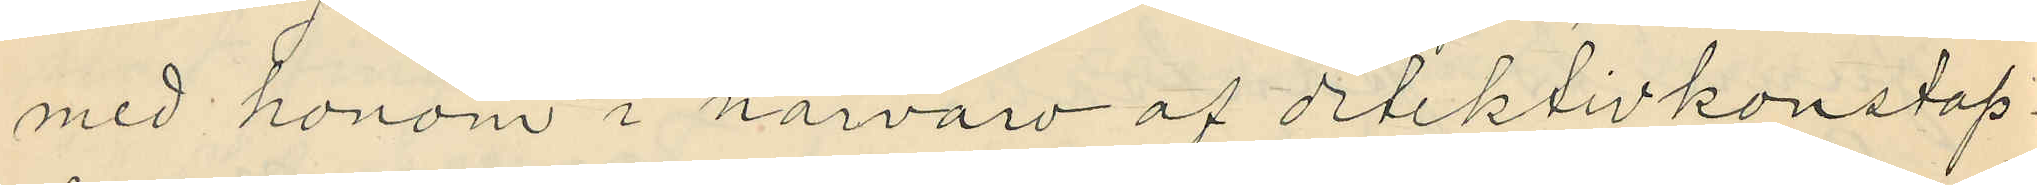med honom i närvaro af detektivkonstap¬
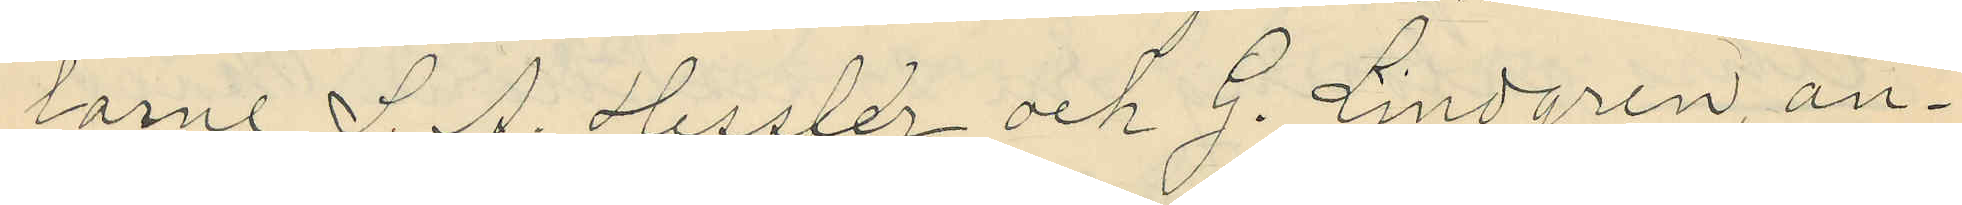larne S. A. Hessler och G. Lindgren, an¬
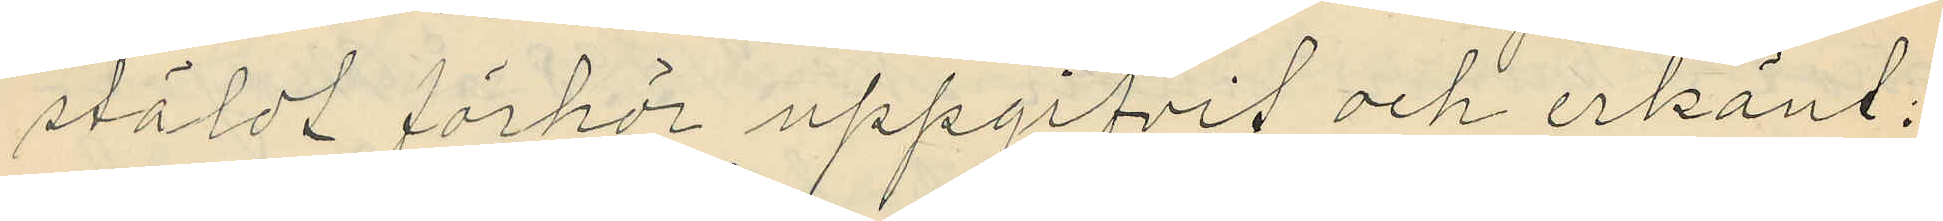stäldt förhör uppgifvit och erkänt:
